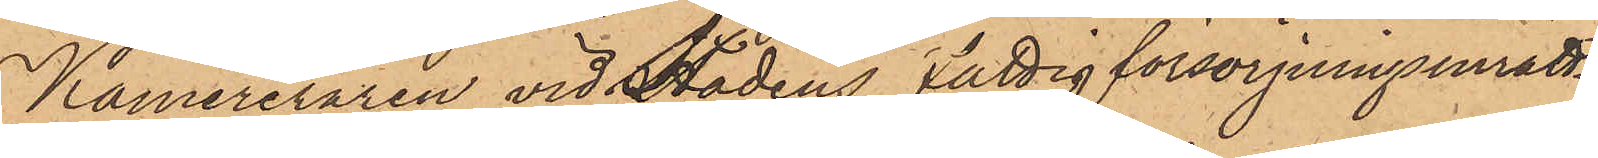Kamereraren vid Stadens Fattigförsörjningsinrätt¬
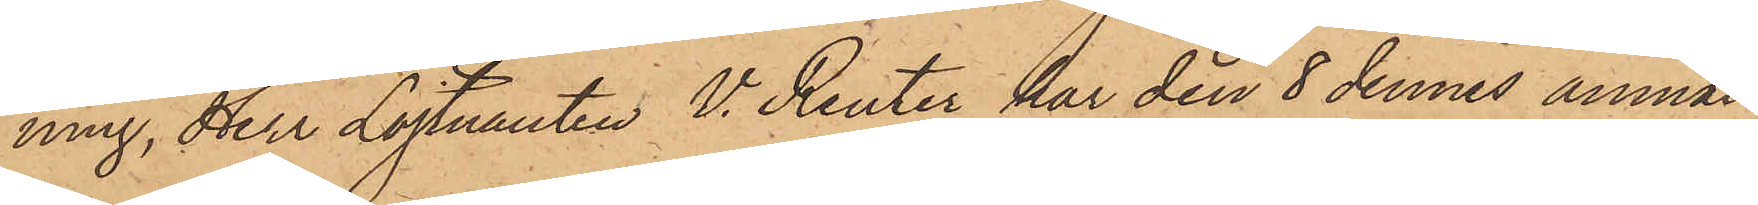ning, Herr Löjtnanten V. Reuter har den 8 dennes anmält
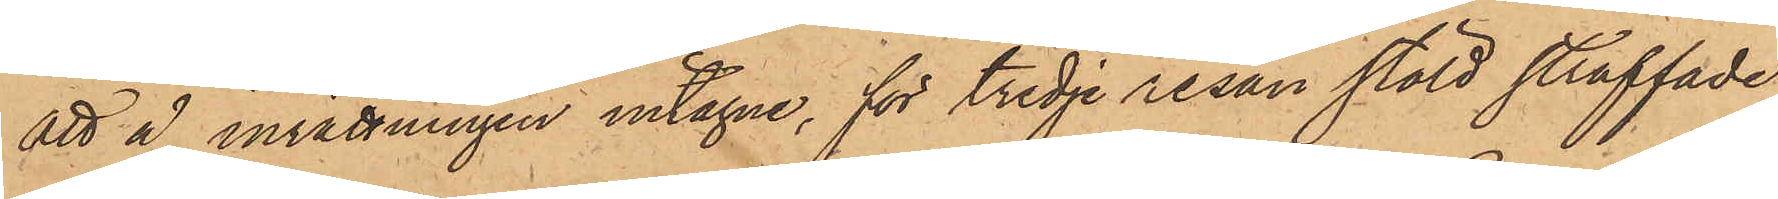att å inrättningen intagne, för tredje resan stöld straffade
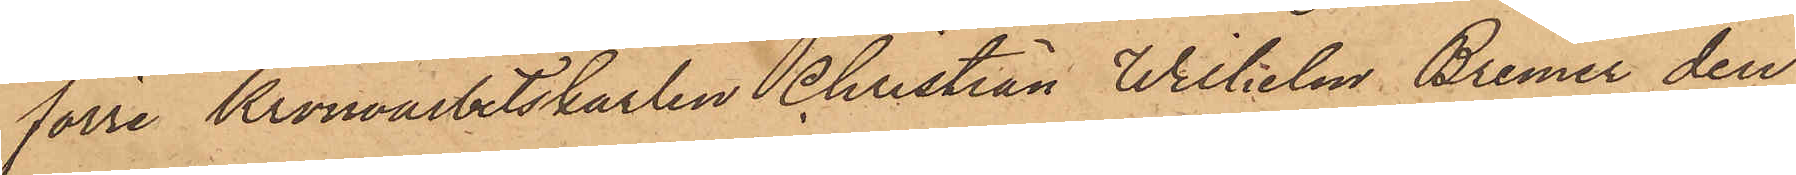förre Kronoarbetskarlen Christian Wilhelm Bremer den
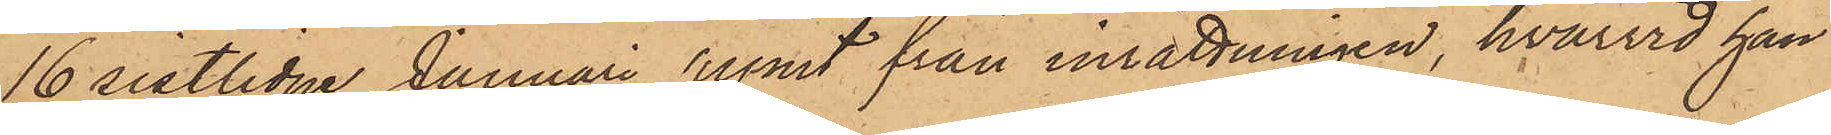16 sistlidne Januari rymt från inrättningen, hvarvid han
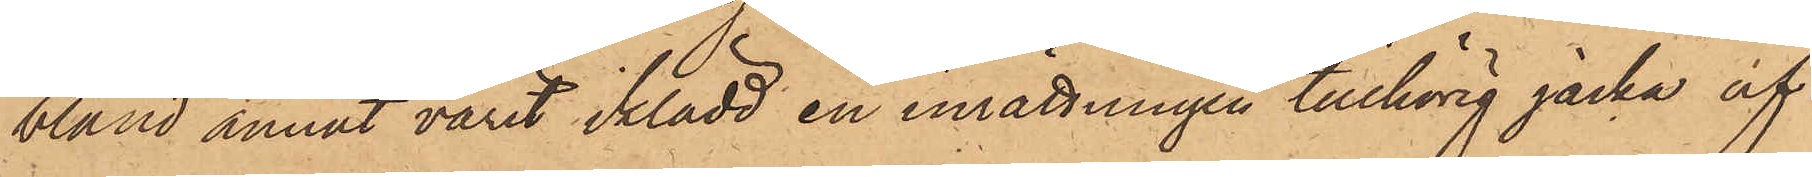bland annat varit iklädd en inrättningen tillhörig jacka af
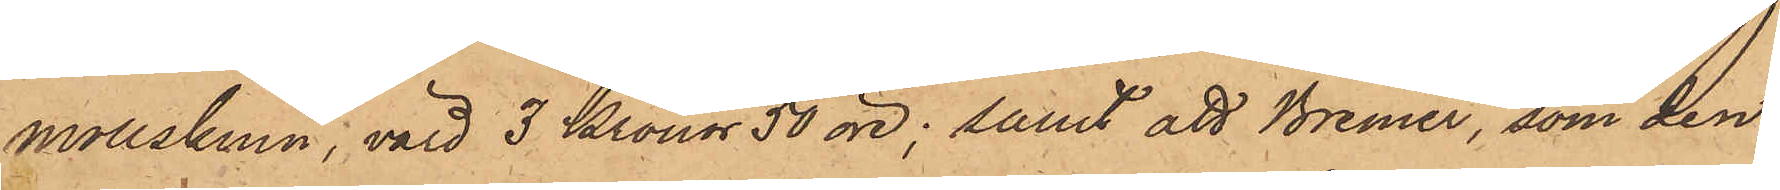mollskinn, värd 3 Kronor 50 öre; samt att Bremer, som den
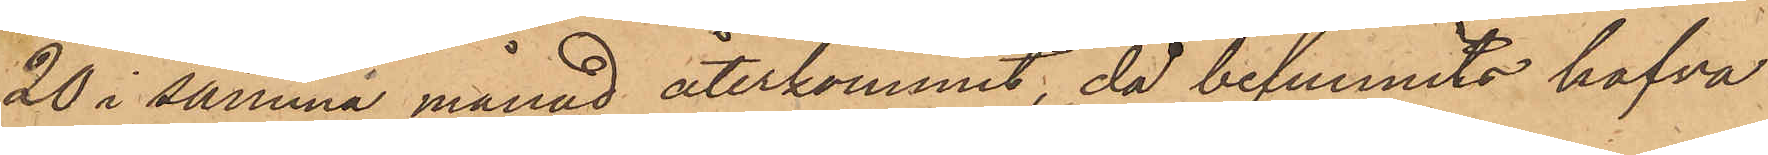20 i samma månad återkommit, då befunnits hafva
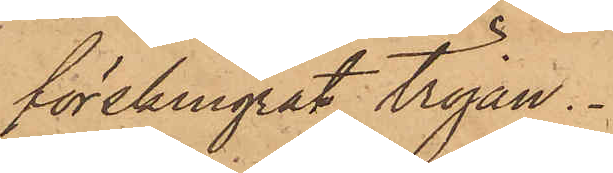förskingrat tröjan.
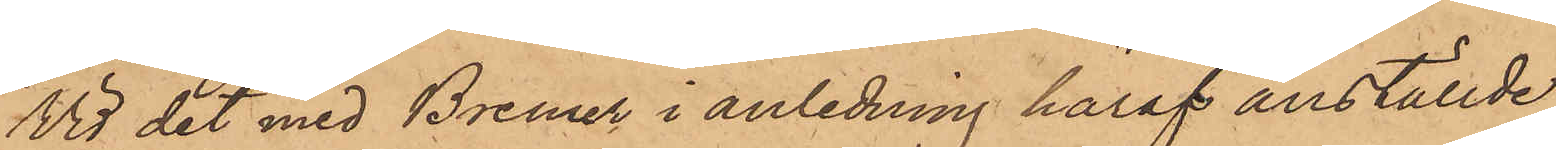Vid det med Bremer i anledning häraf anställde
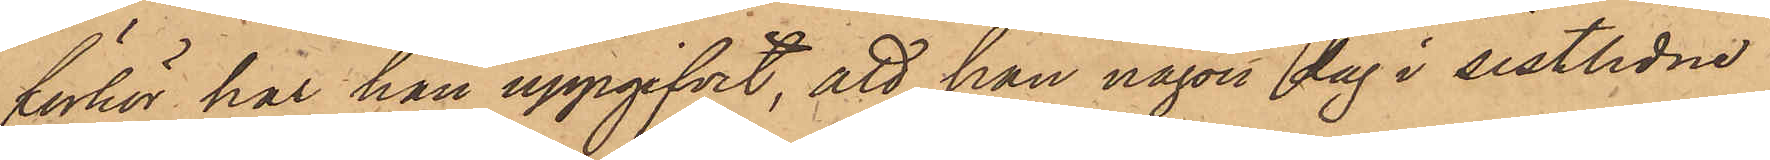förhör har han uppgifvit, att han någon dag i sistlidne
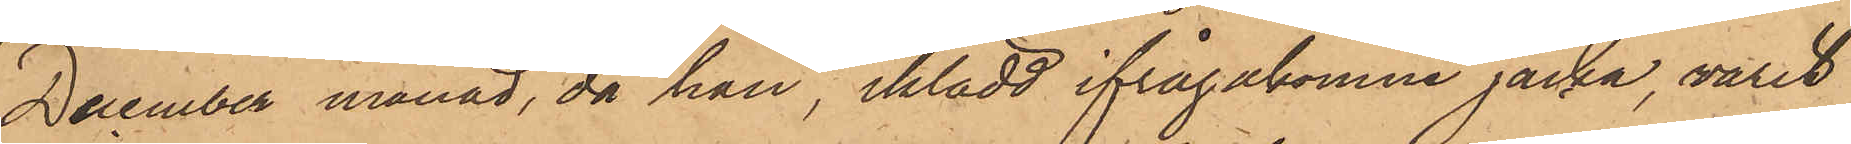December månad, då han, iklädd ifrågakomne jacka, varit
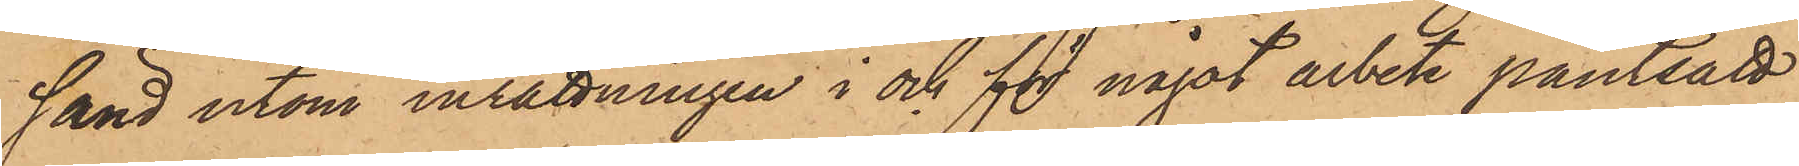sänd utom inrättningen i och för något arbete pantsatt
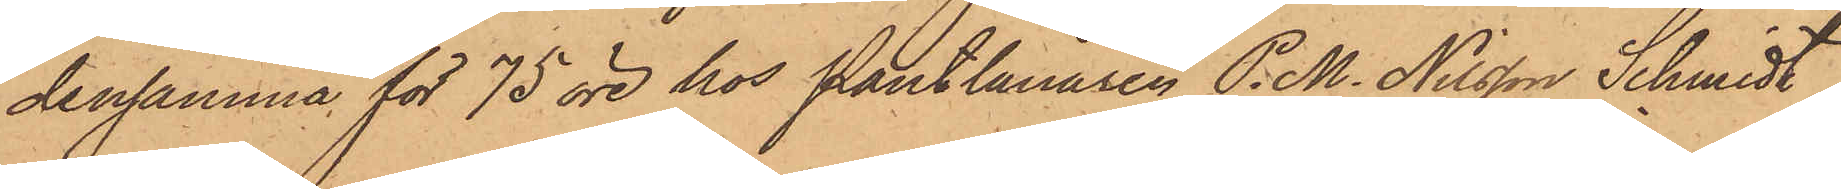densamma för 75 öre hos Pantlånaren P. M. Nilsson Schmidt
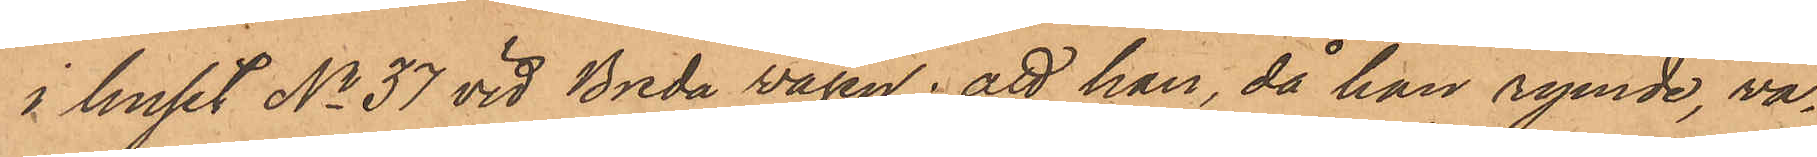i huset No 37 vid Breda vägen; att han, då han rymde, va¬
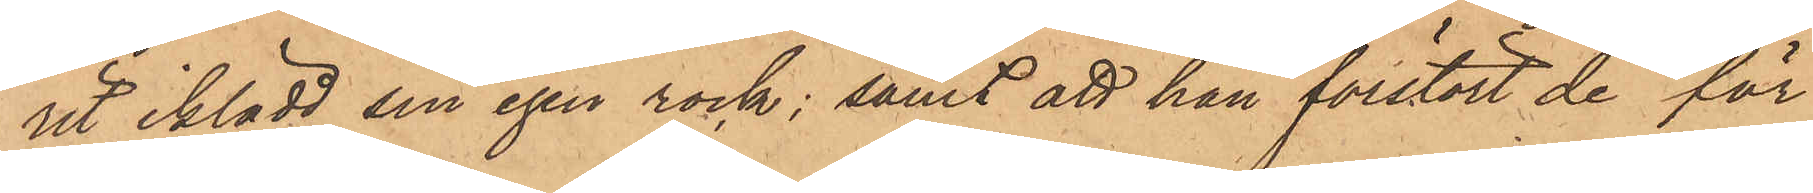rit iklädd sin egen rock; samt att han förstört de för
